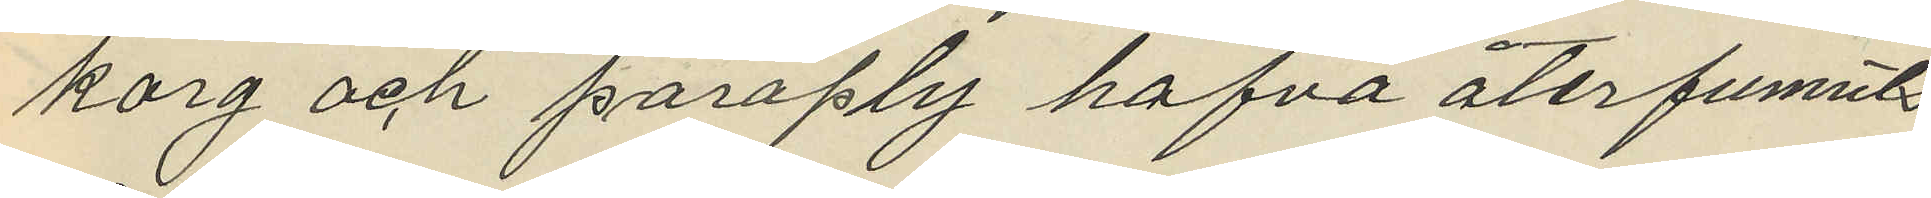korg och paraply hafva återfunnits
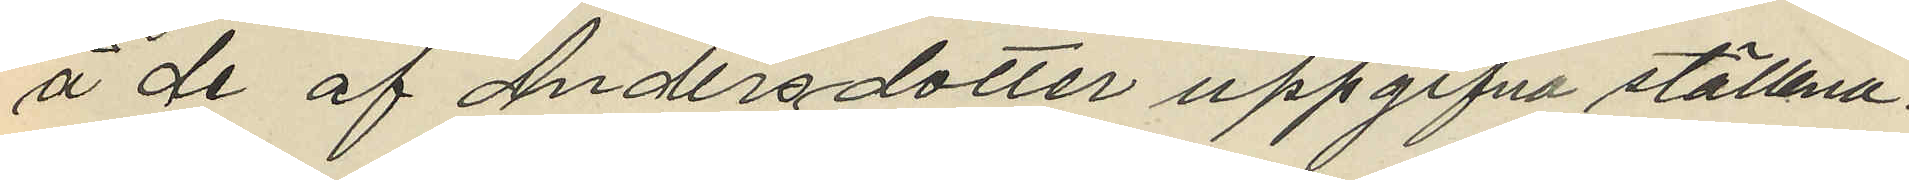å de af Andersdotter uppgifna ställena.
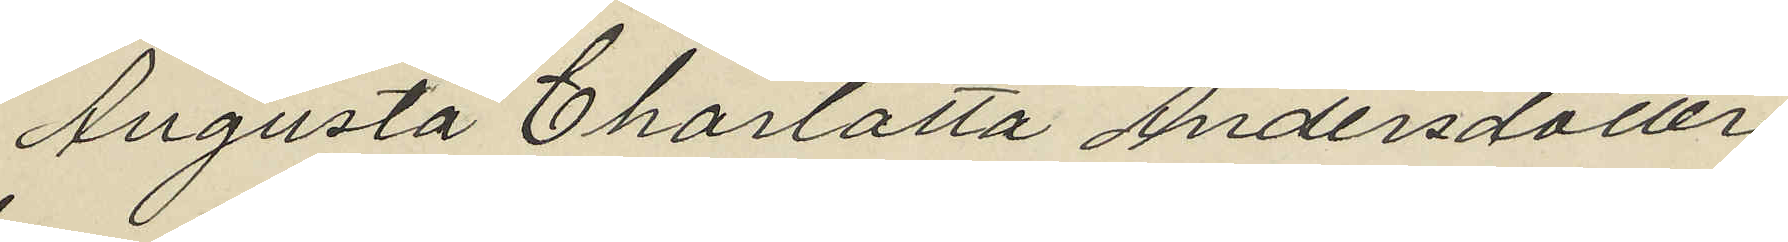Augusta Charlotta Andersdotter
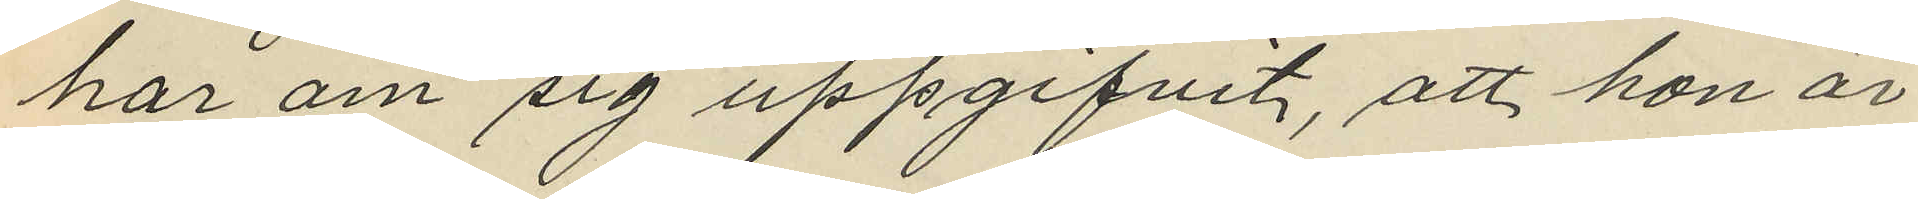har om sig uppgifvit, att hon är
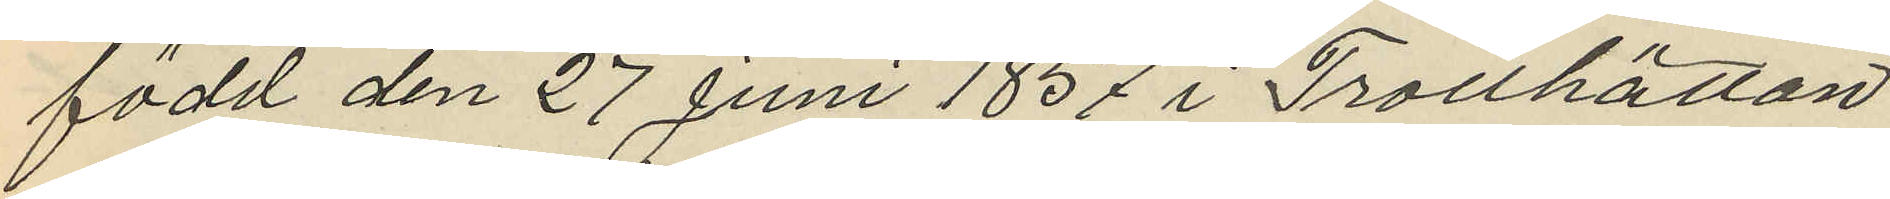född den 27 Juni 1857 i Trollhättan
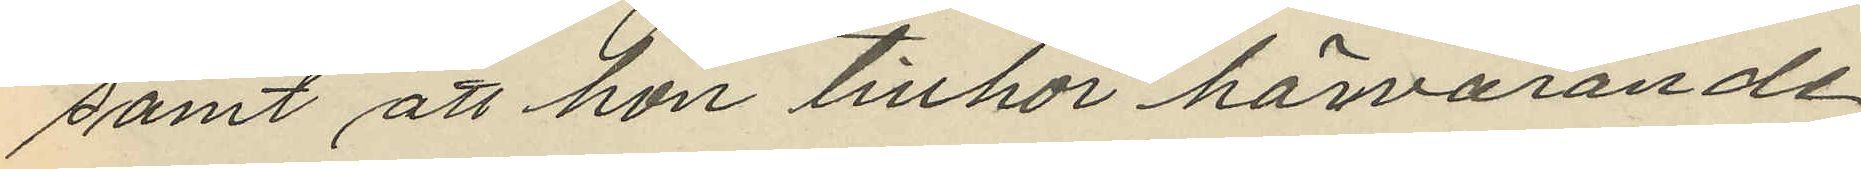samt att hon tillhör härvarande
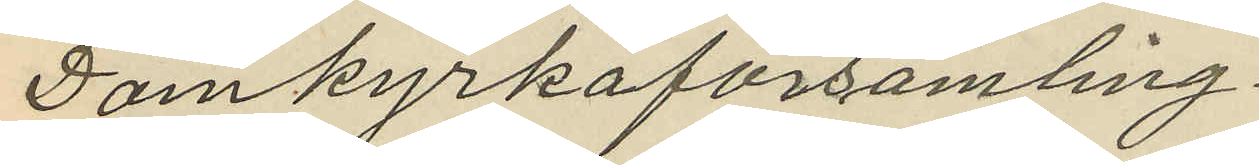Domkyrkoförsamling.
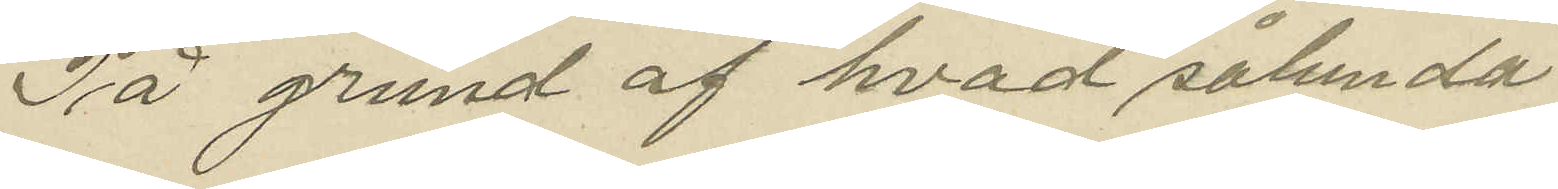På grund af hvad sålunda
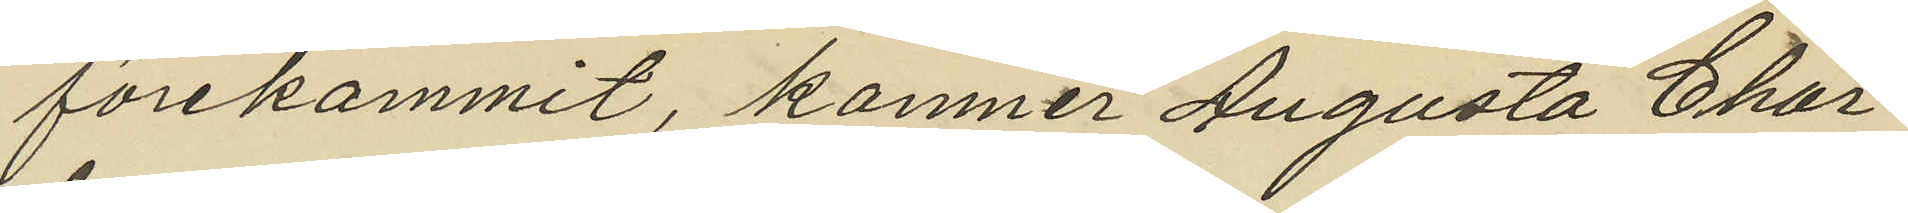förekommit, kommer Augusta Char¬
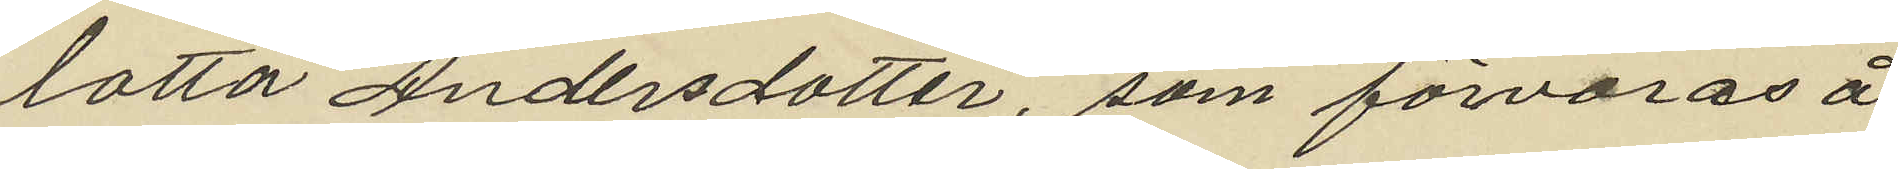lotta Andersdotter, som förvaras å
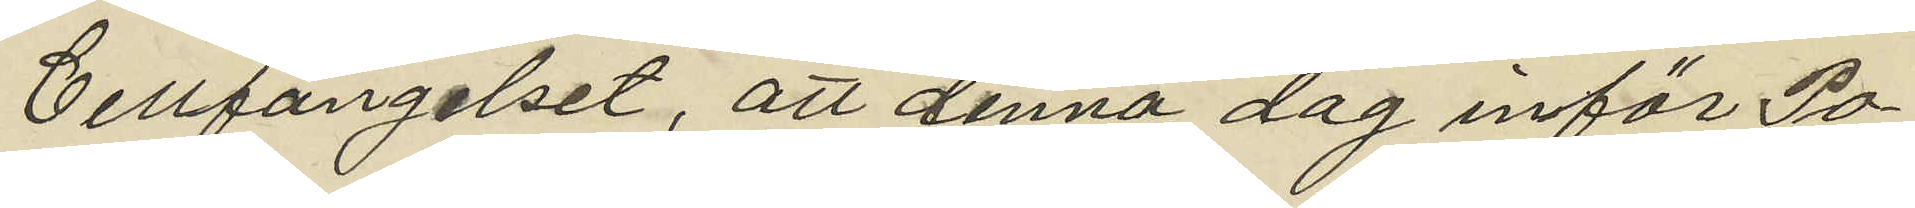Cellfängelset, att denna dag inför Po¬
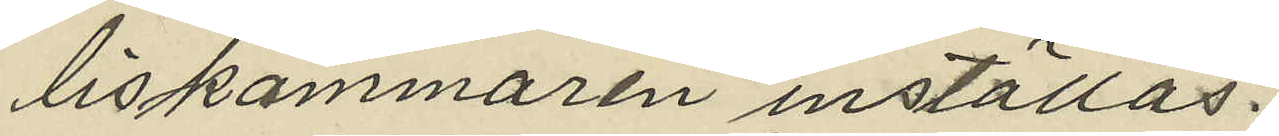liskammaren inställas.
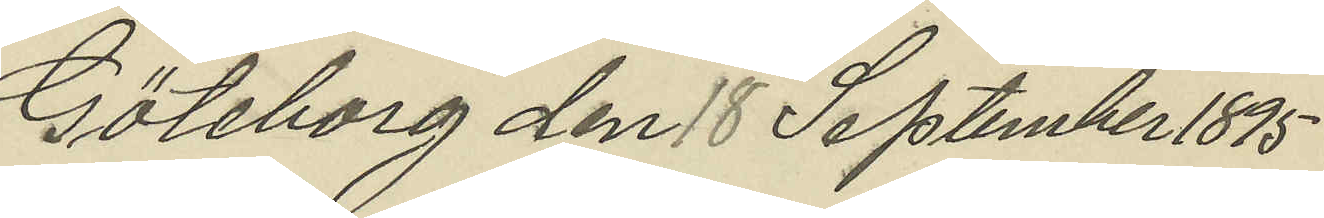Göteborg den 18 September 1895
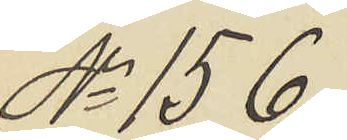No 156.
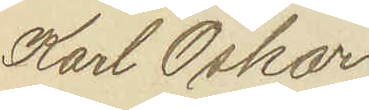Karl Oskar
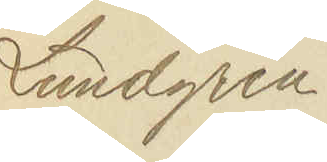Lundgren
